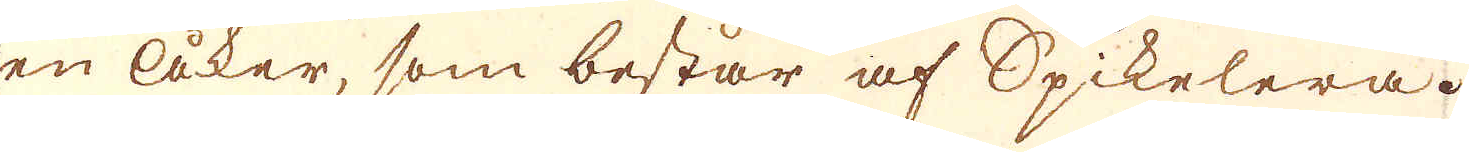en åker, som består af Spikelera.
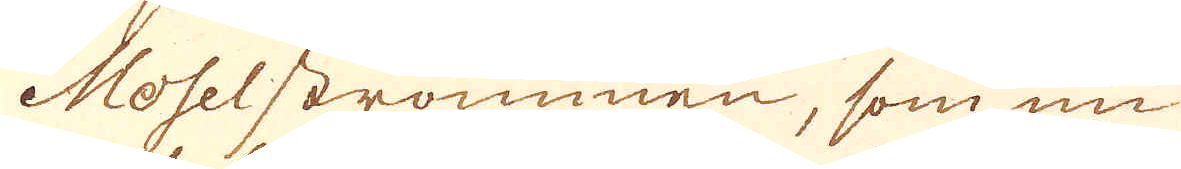Moselströmmen, som nu
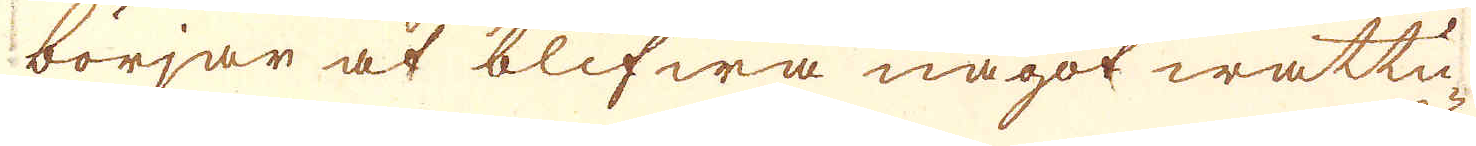börjar at blifwa något wattu-
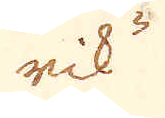rik
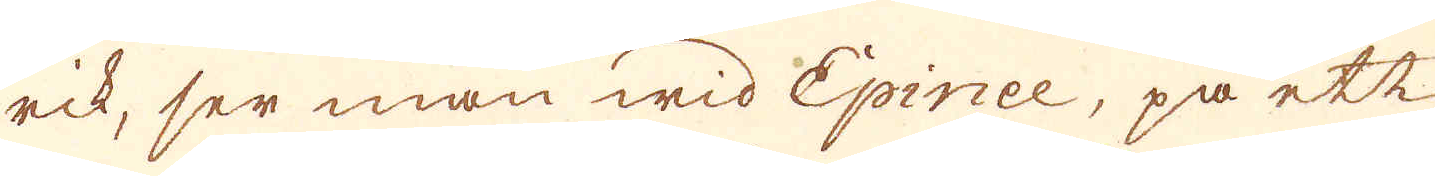rik, ser man wid Epinee, på ett
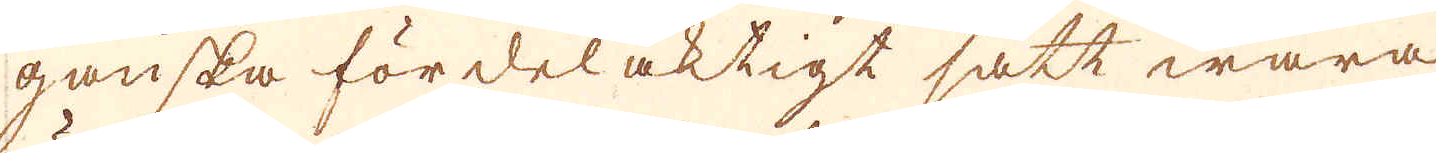ganska fördelaktigt sätt wara
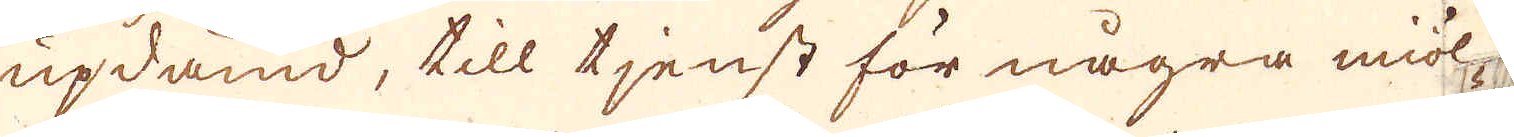updämd, till tjenst för några miöl-
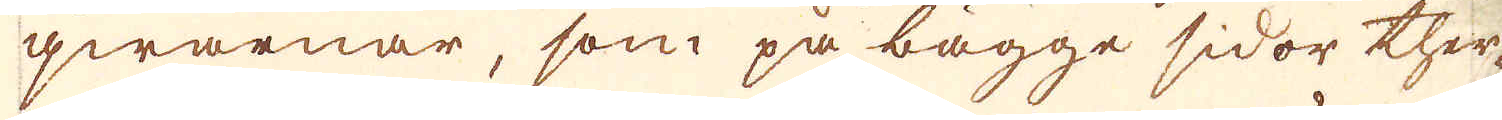qwarnar, som på bägge sidor ther-
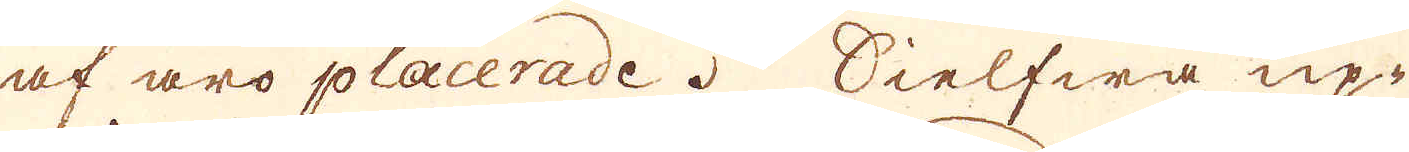af äro placerade. Sielfwa up-
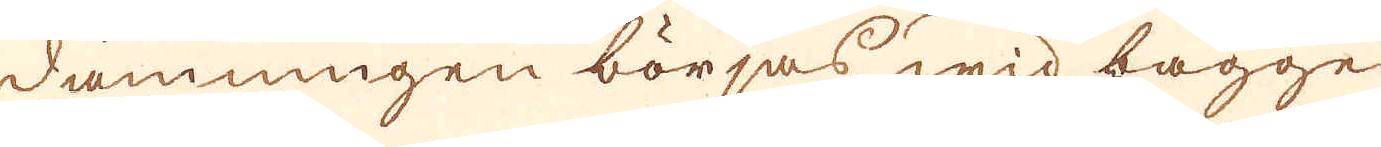dämningen börjas wid bägge
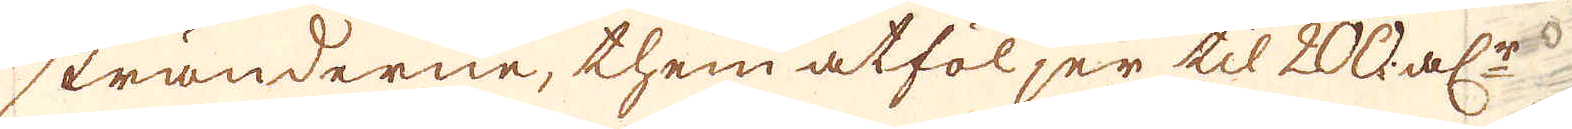stränderne, them åtföljer til 200 al:r
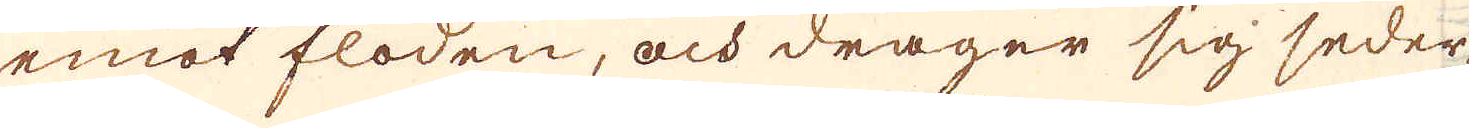emot floden, och drager sig seder-
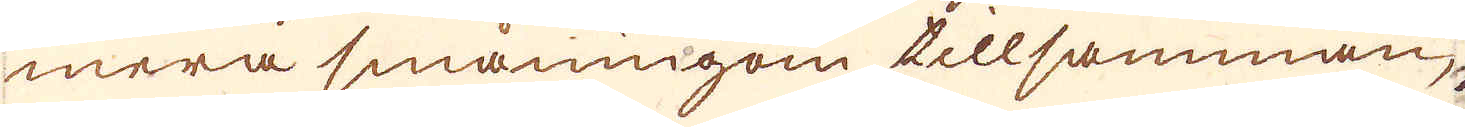mera småningom tillsamman,
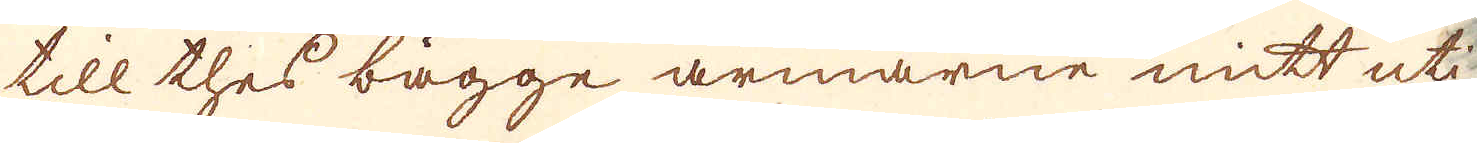till thes bägge armarne mitt uti
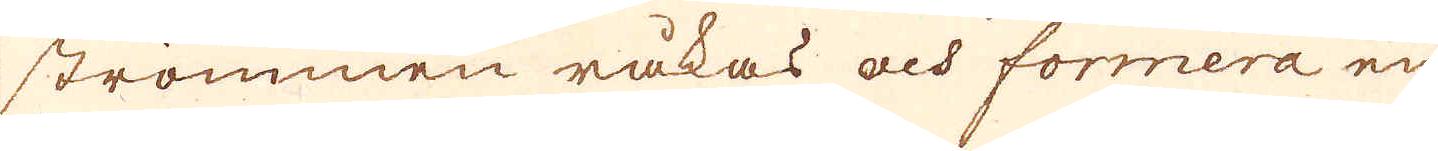strömmen råkas och formera en
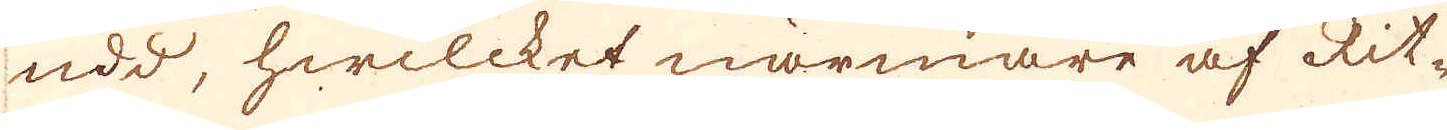udd, hwilcket närmare af Rit-
